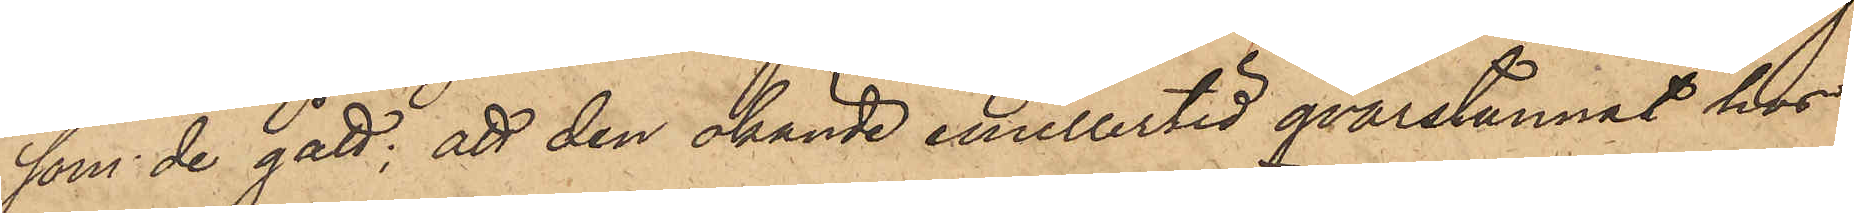som de gått; att den okände emellertid qvarstannat hos
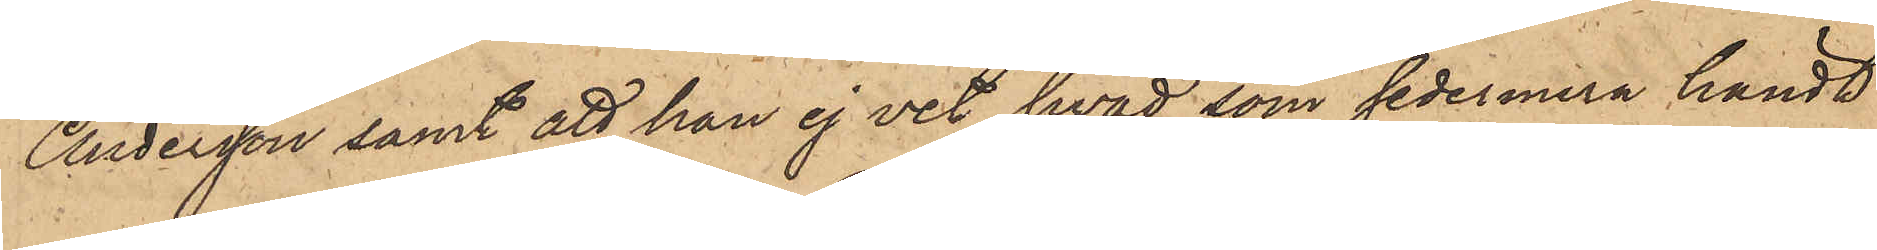Andersson samt att han ej vet hvad som sedermera händt
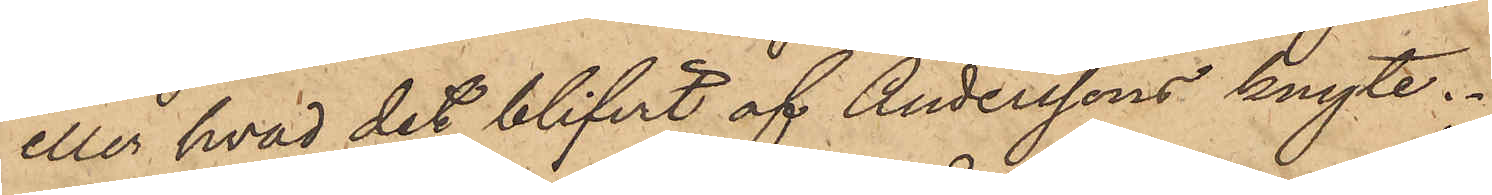eller hvad det blifvit af Anderssons knyte.
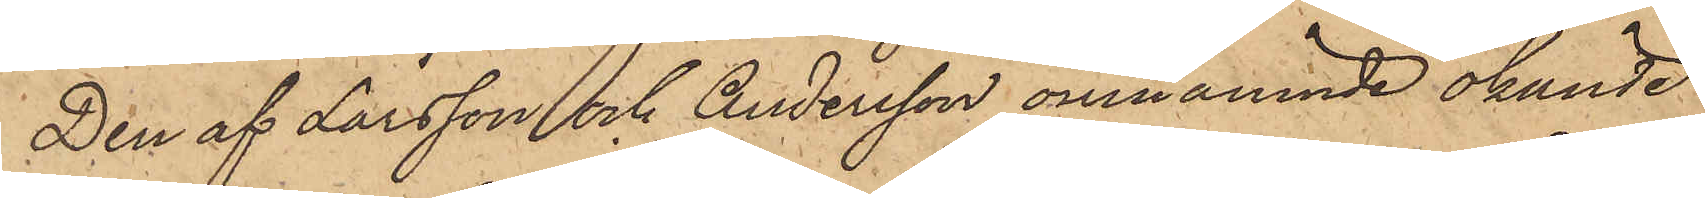Den af Larsson och Andersson omnämnde okände
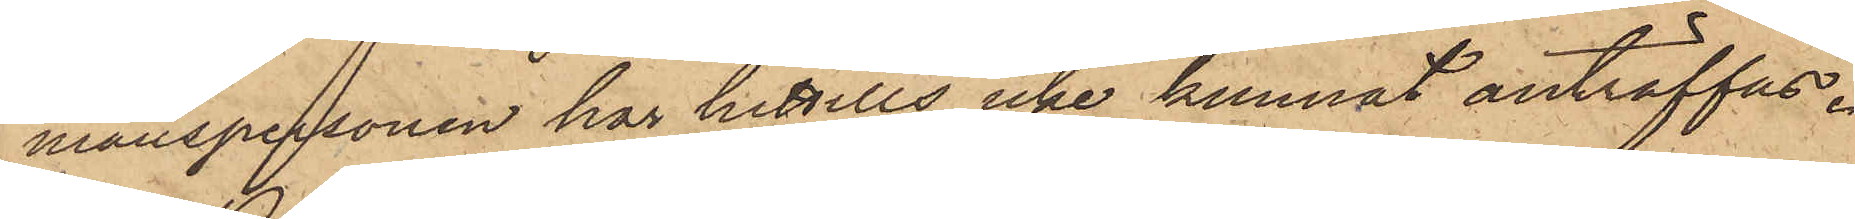manspersonen har hittills icke kunnat anträffas.
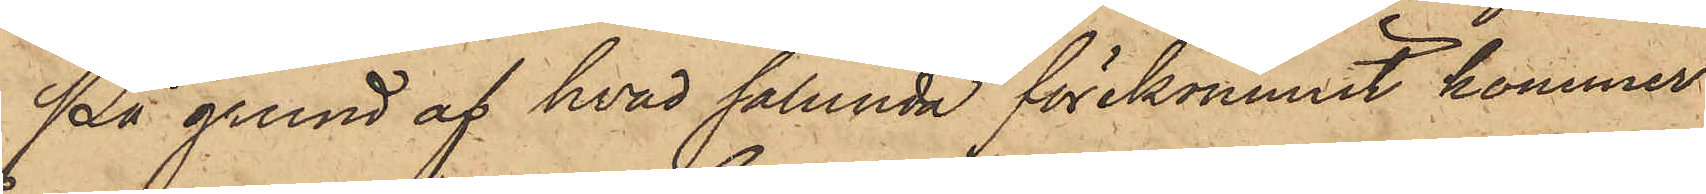På grund af hvad sålunda förekommit kommer
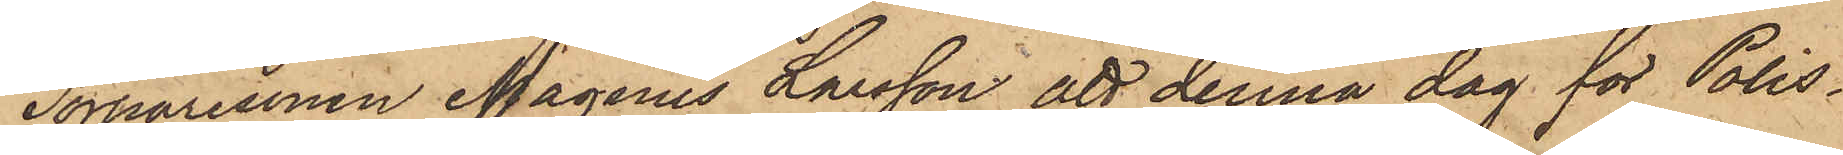Torparesonen Magnus Larsson att denna dag för Polis¬
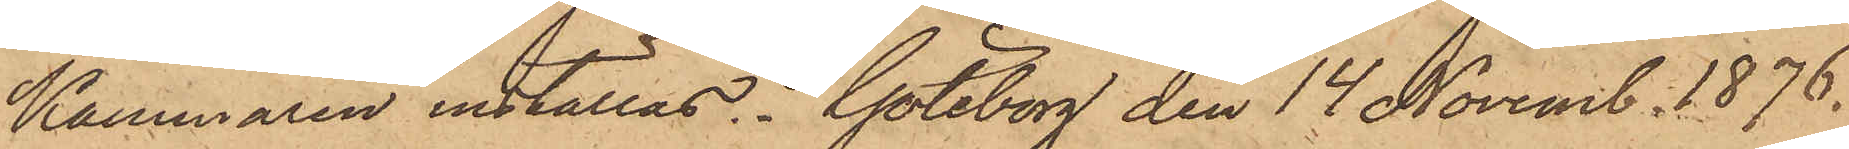Kammaren inställas. Göteborg den 14 Novemb. 1876.
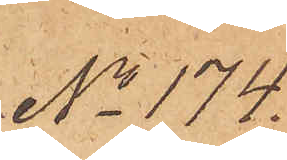No 174
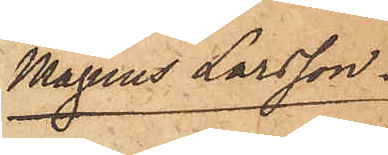Magnus Larsson.
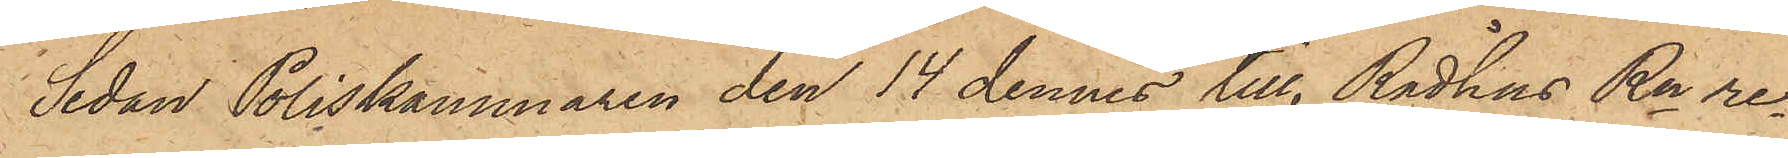Sedan Poliskammaren den 14 dennes till RådhusRn re¬
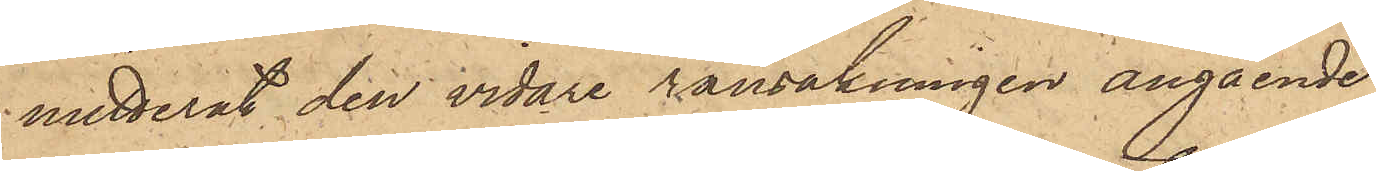mitterat den vidare ransakningen angående
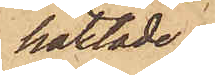häktade
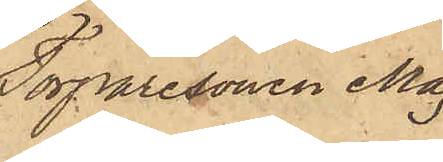Torparesonen Mag¬
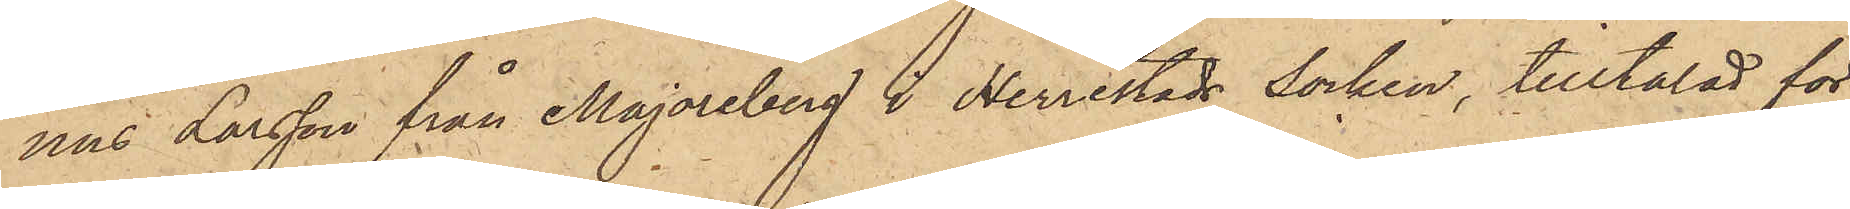nus Larsson från Majoreberg i Herrestads Socken, tilltalad för
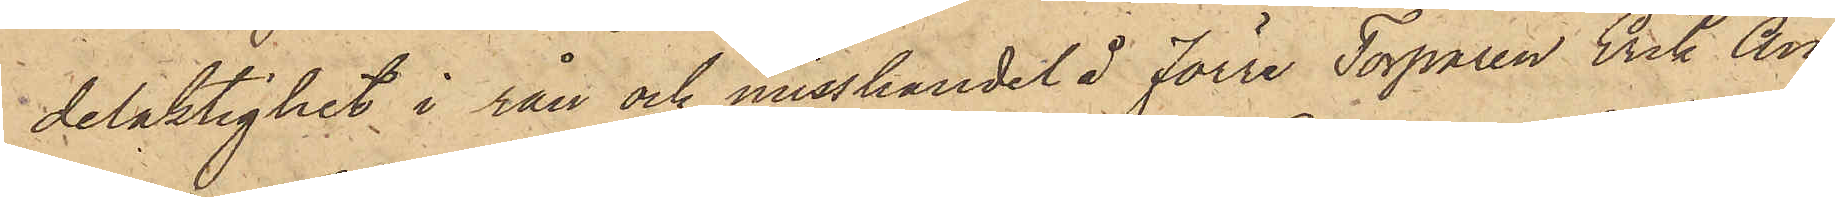delaktighet i rån och misshandel å förre Torparen Erik An¬
